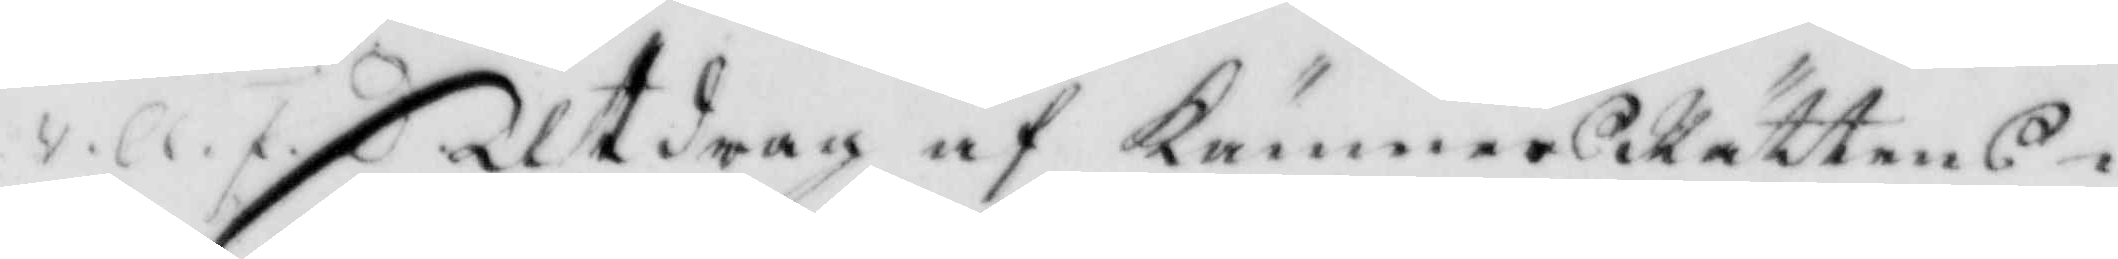4. Cl. F. D. Utdrag af KämnersRättens i
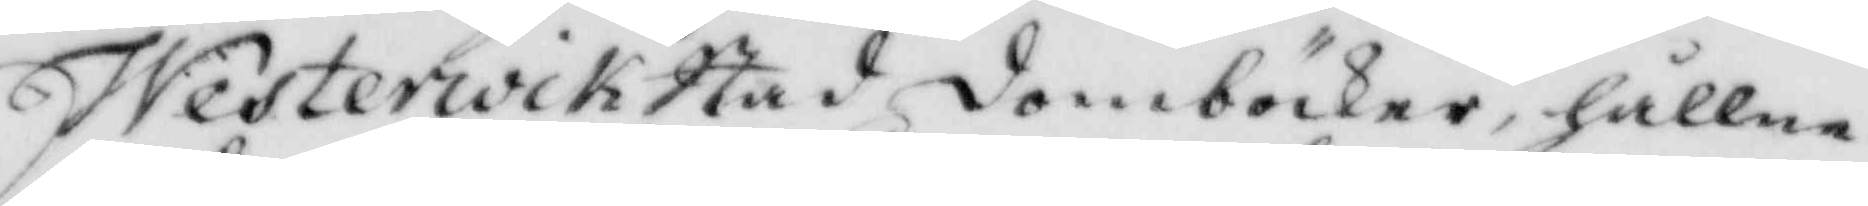Westerwik stad domböcker, hållne
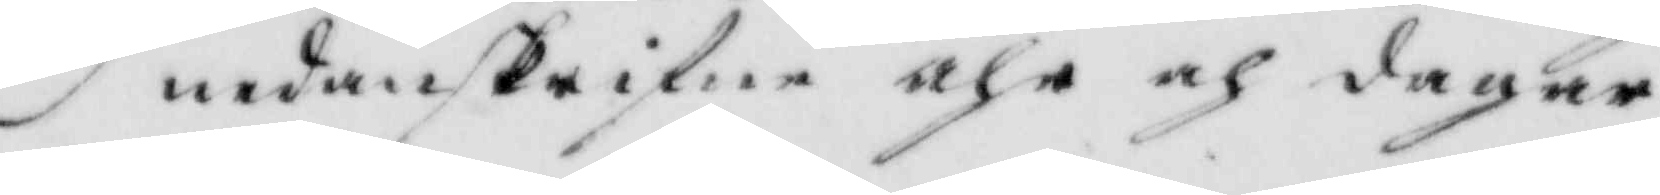nedanskrifne åhr och dagar.
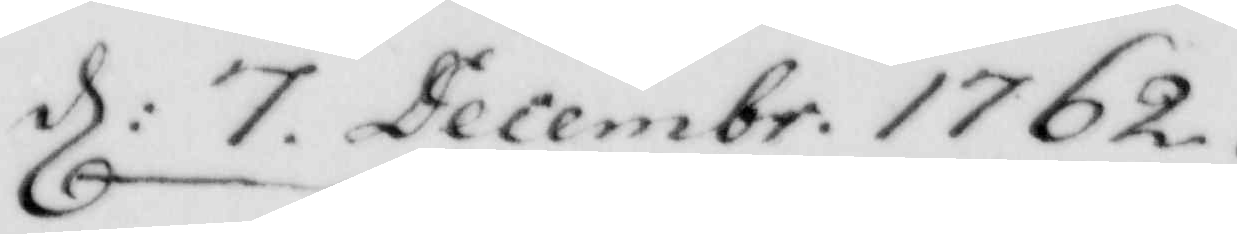d: 7 Decembr: 1762
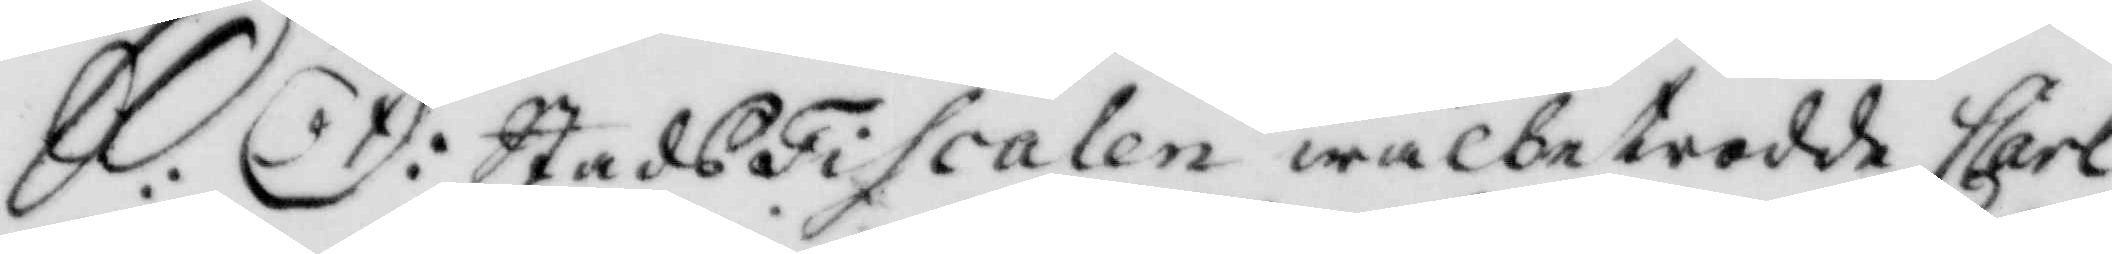S: D: StadsFiscalen wälbetrodde Carl
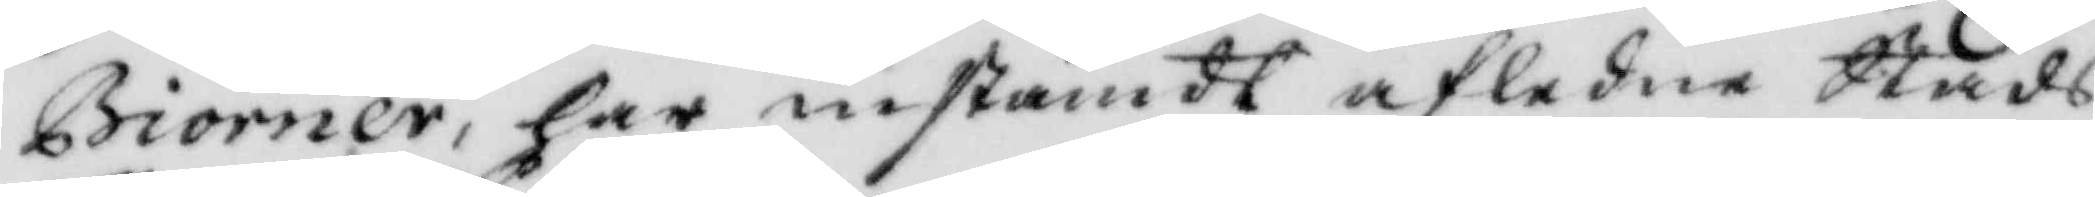Biörner, har instämdt afledne Stads
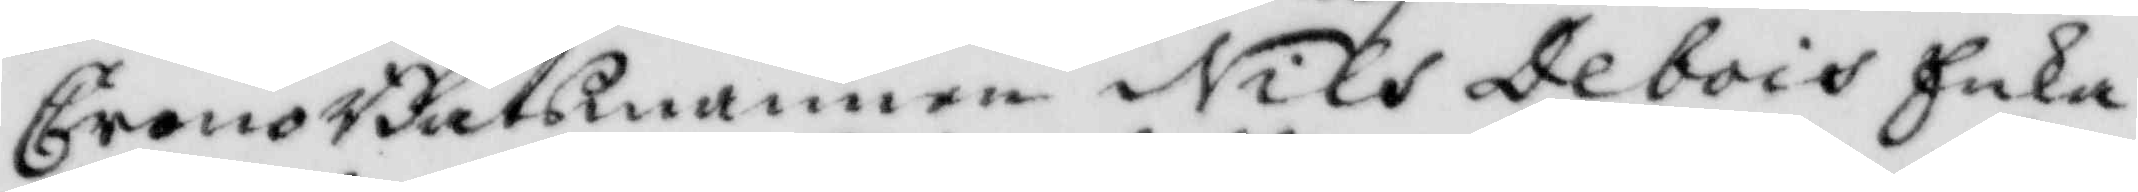CronoBåtsmannen Nils Debois Enka
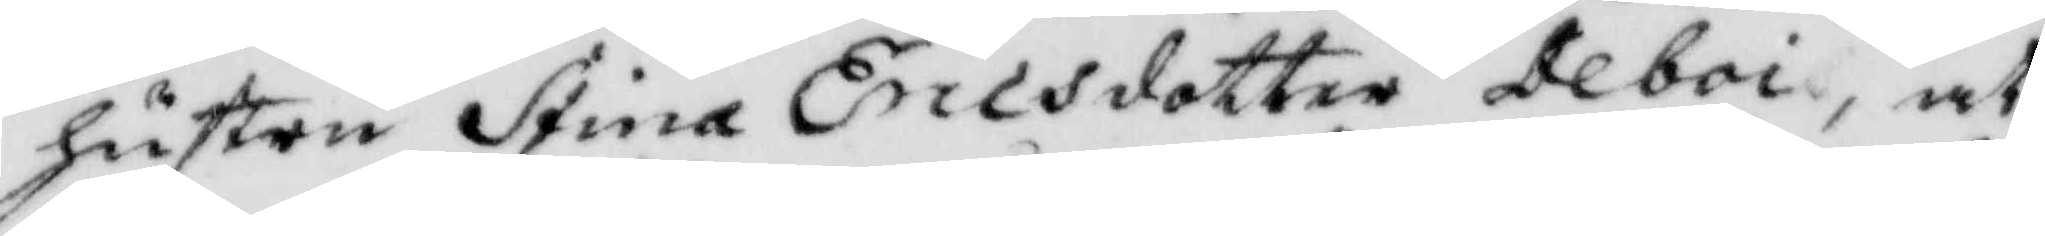hustru Stina Ericsdotter Deboi, at
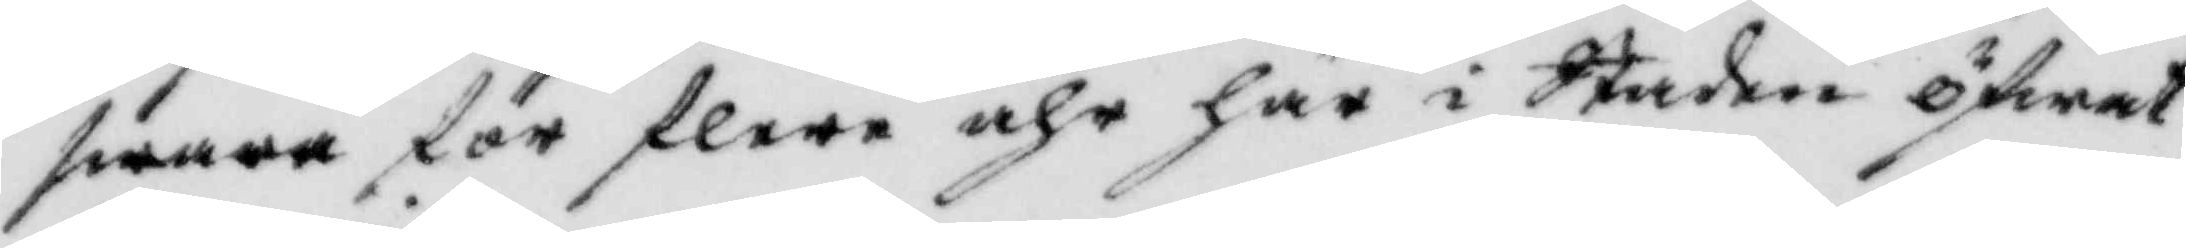swara för flere åhr här i Staden öfwat
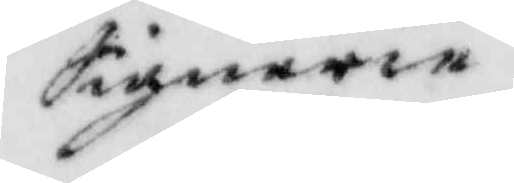Signerie.
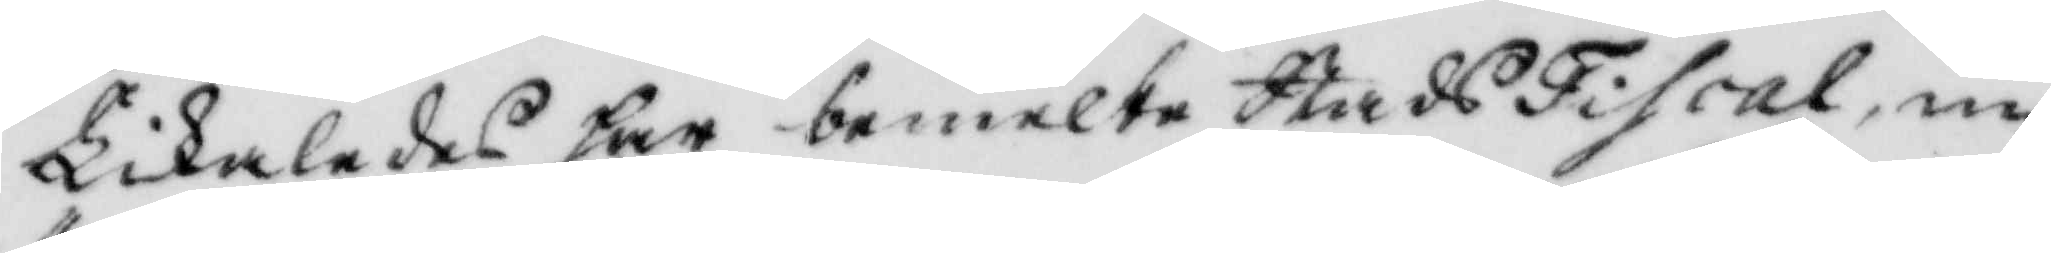Likaledes har bemelte StadsFiscal, in¬
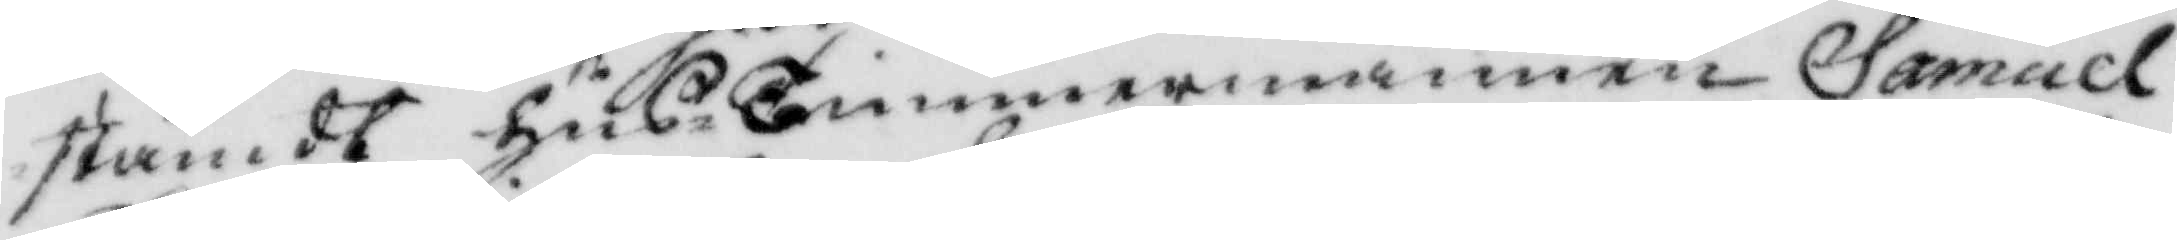stämdt Hus- Timmermannen Samuel
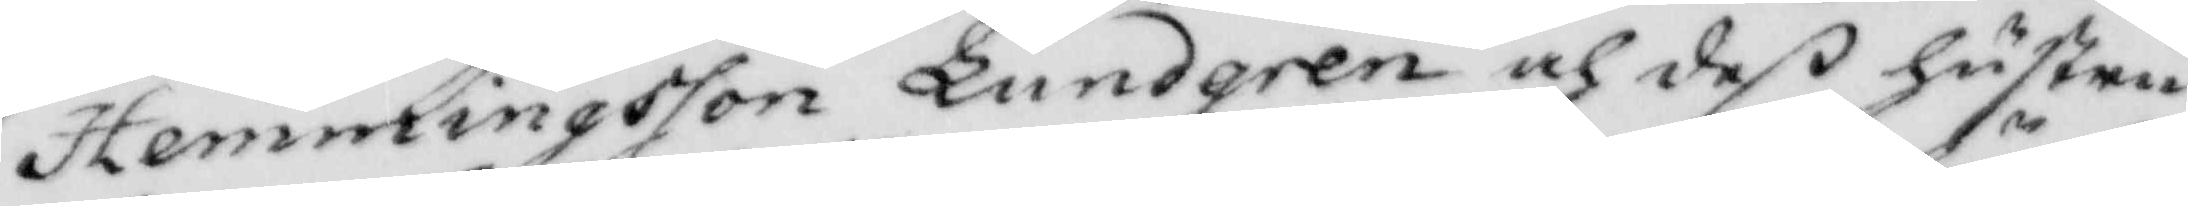Hemmingsson Lundgren och deß hustru
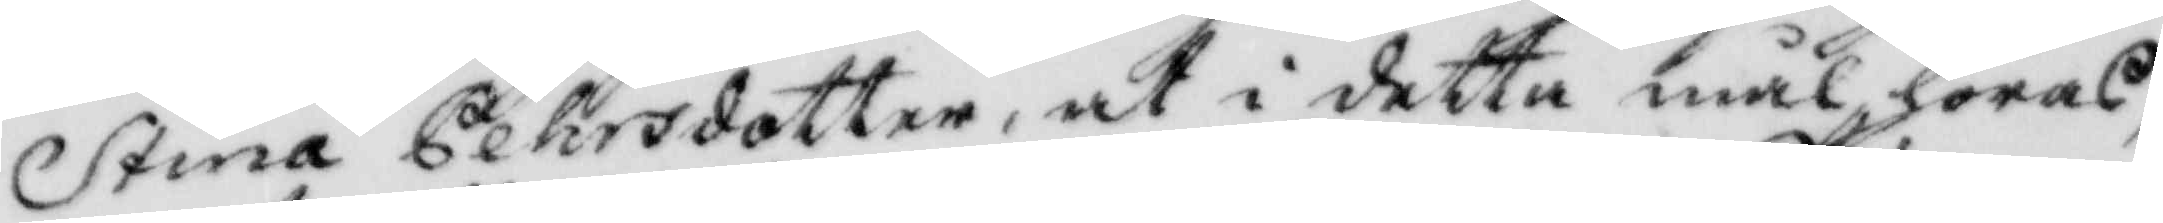Stina Pehrsdotter, at i detta mål höras,
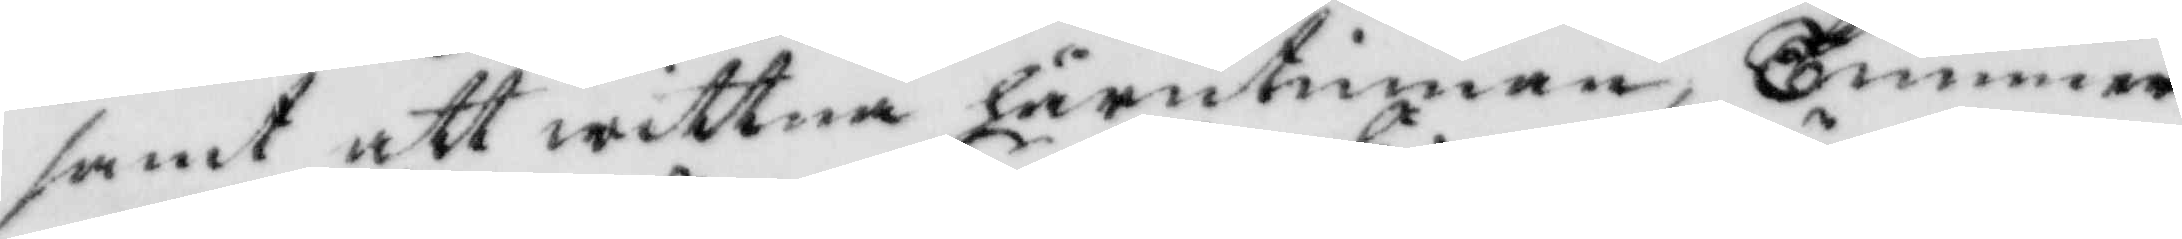samt att wittna härutinnan, Timmer¬
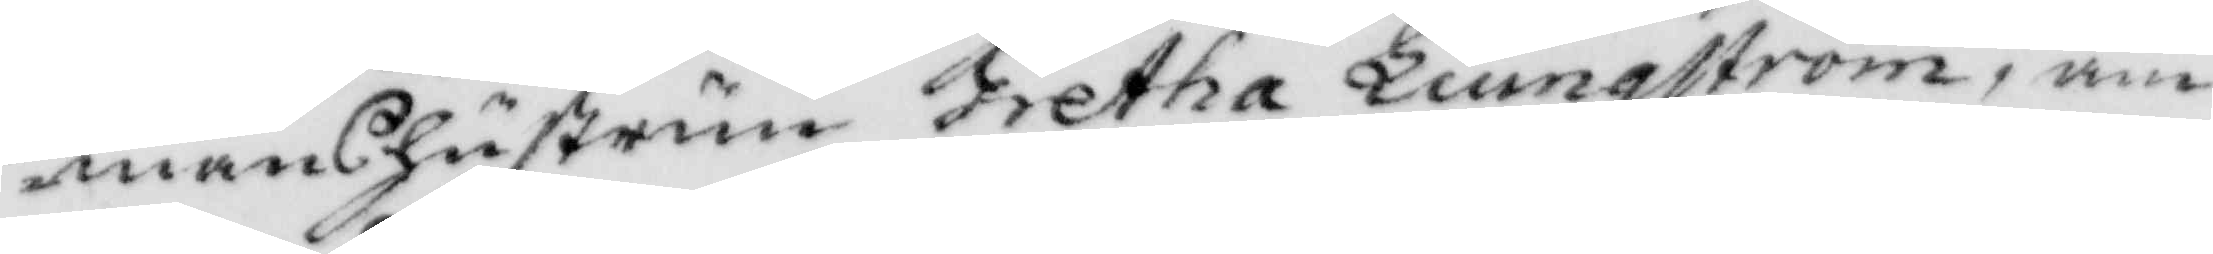manshustrun Gretha Liungström, am¬
